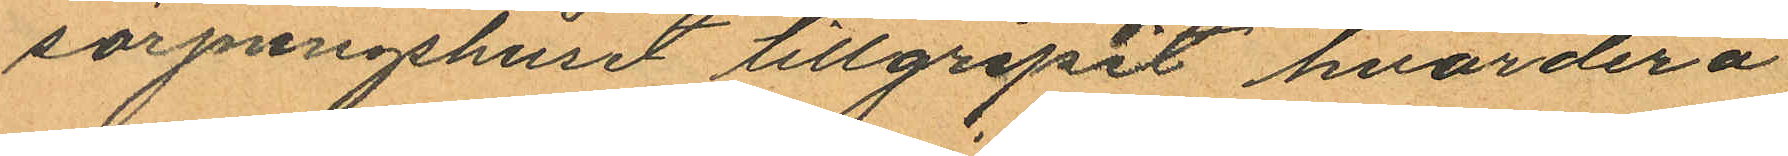sörjningshuset tillgripit hvardera
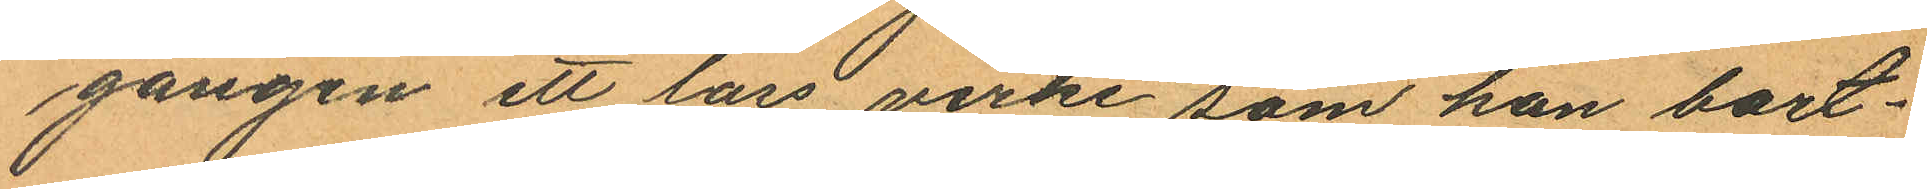gången ett lass virke som han bort¬
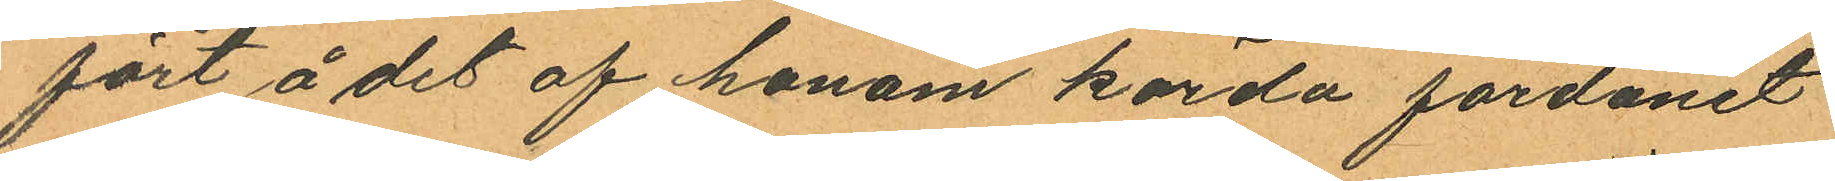fört å det af honom körda fordonet
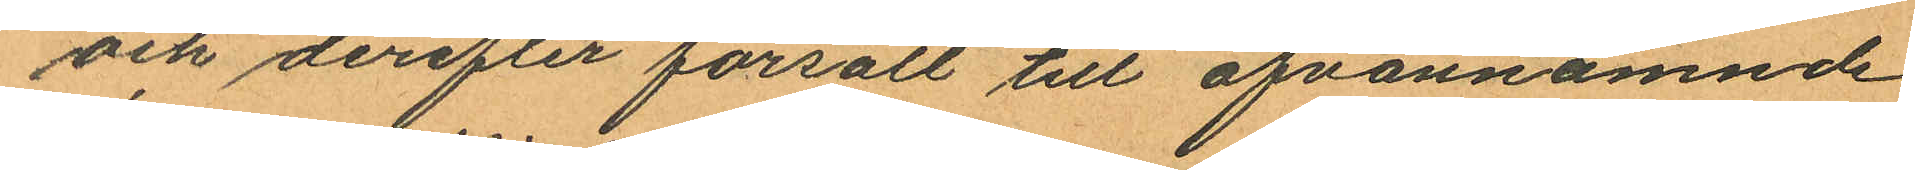och derefter försålt till ofvannämnde
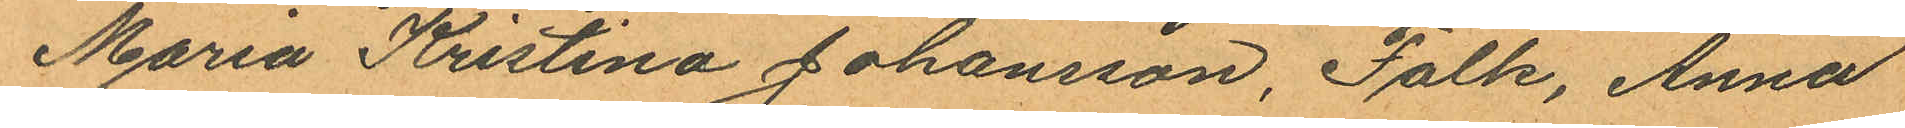Maria Kristina Johansson, Falk, Anna
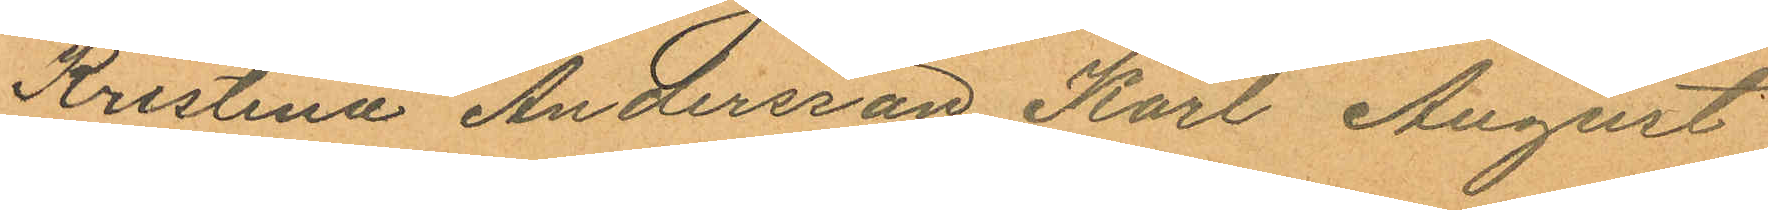Kristina Andersson Karl August
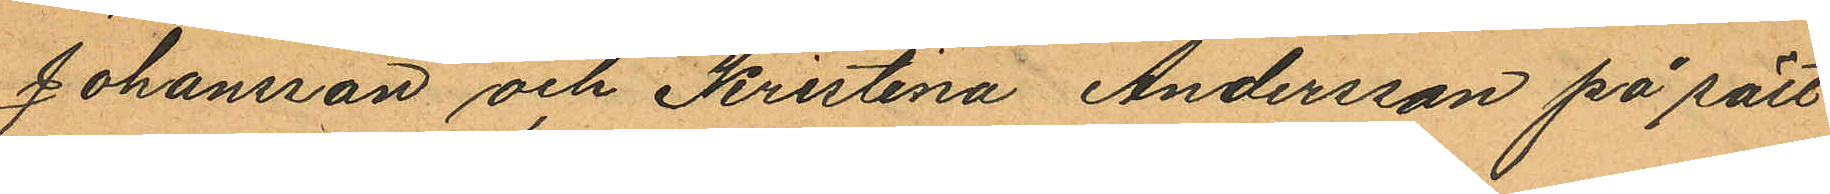Johansson och Kristina Andersson på sätt
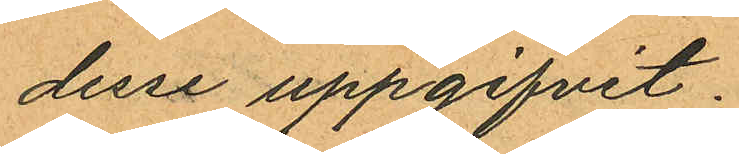desse uppgifvit.
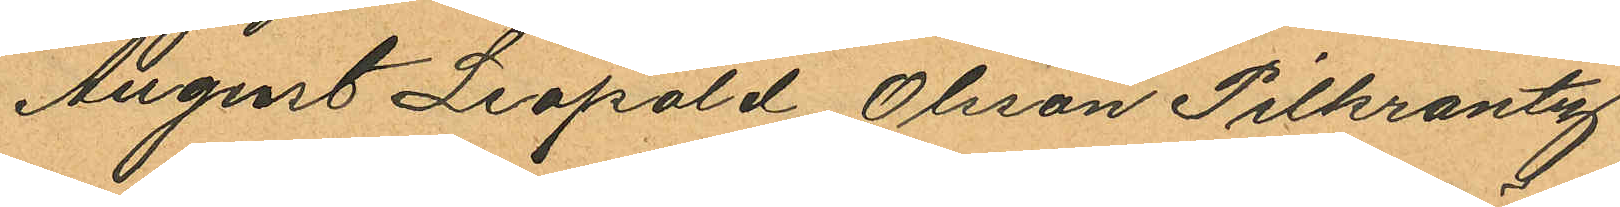August Leopold Olsson Pilkrantz
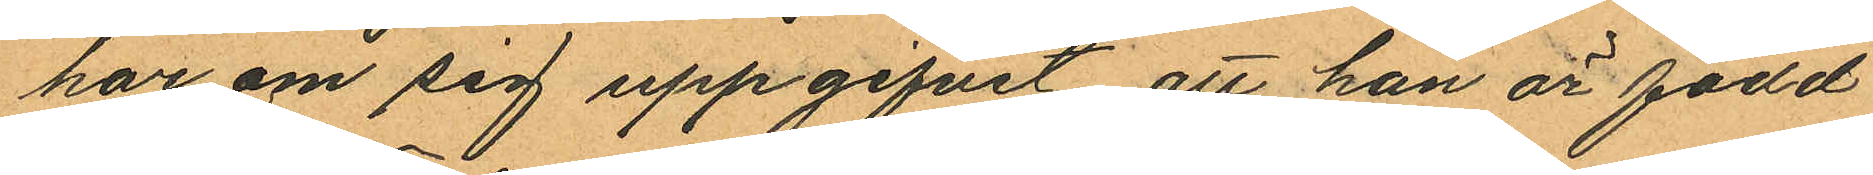har om sig uppgifvit att han är född
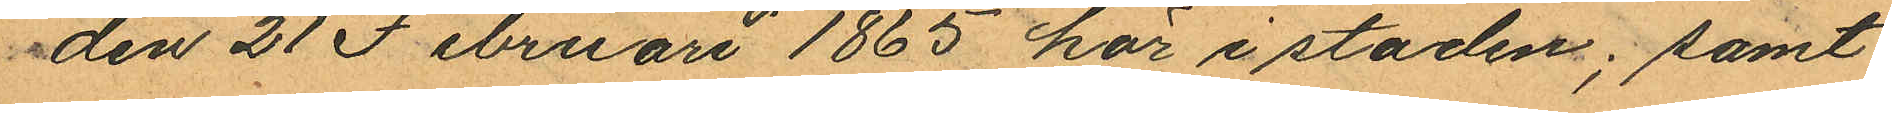den 21 Februari 1865 här i staden; samt
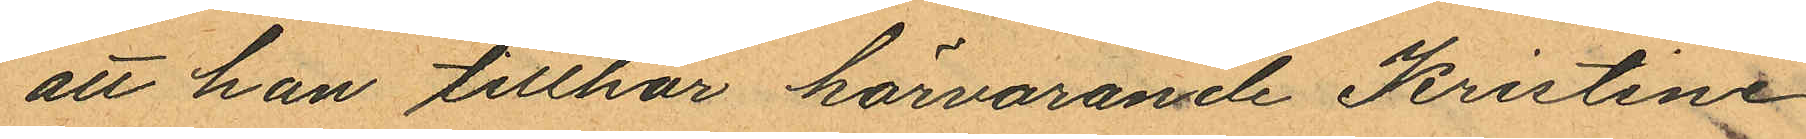att han tillhör härvarande Kristine
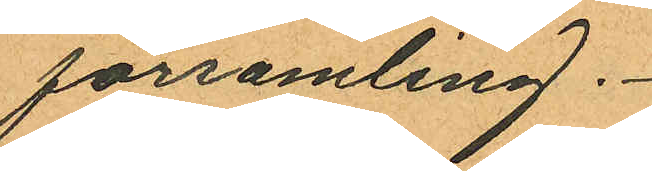församling.
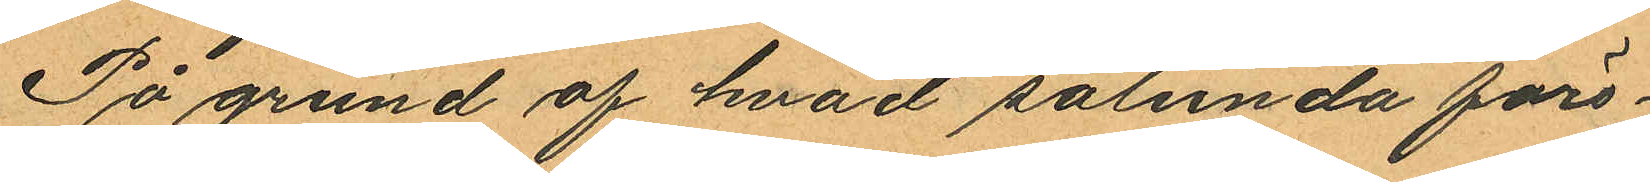På grund af hvad sålunda före¬
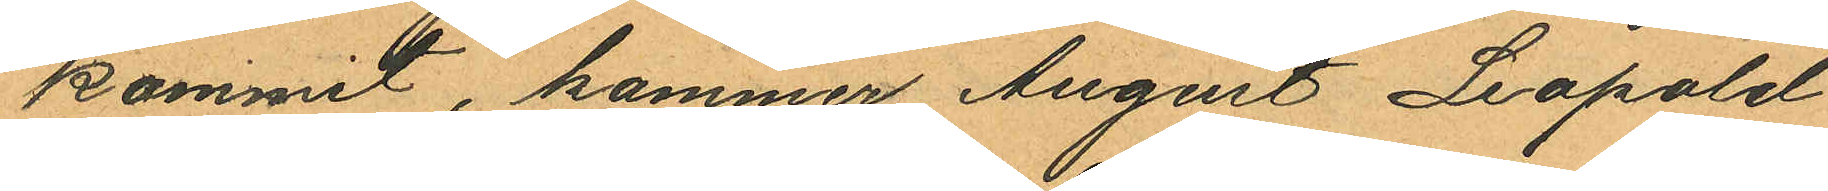kommit, kommer August Leopold
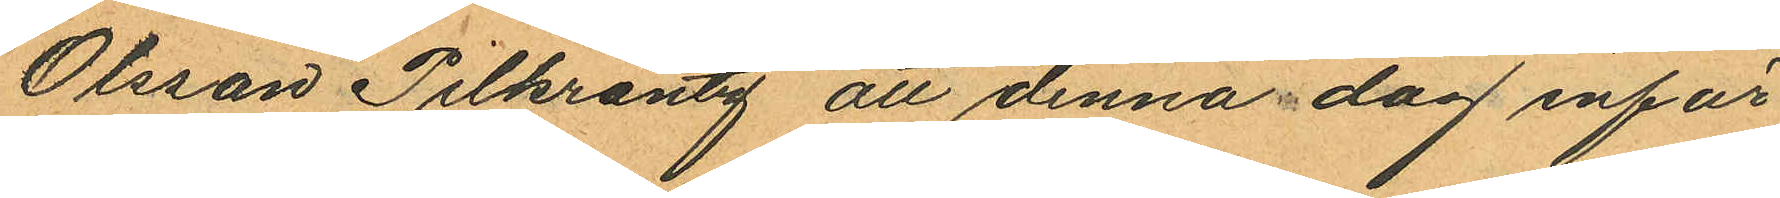Olsson Pilkrantz att denna dag inför
